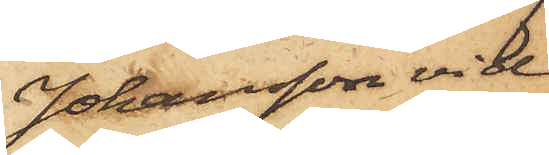Johansson vid
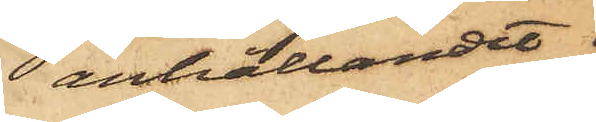anhållandet.
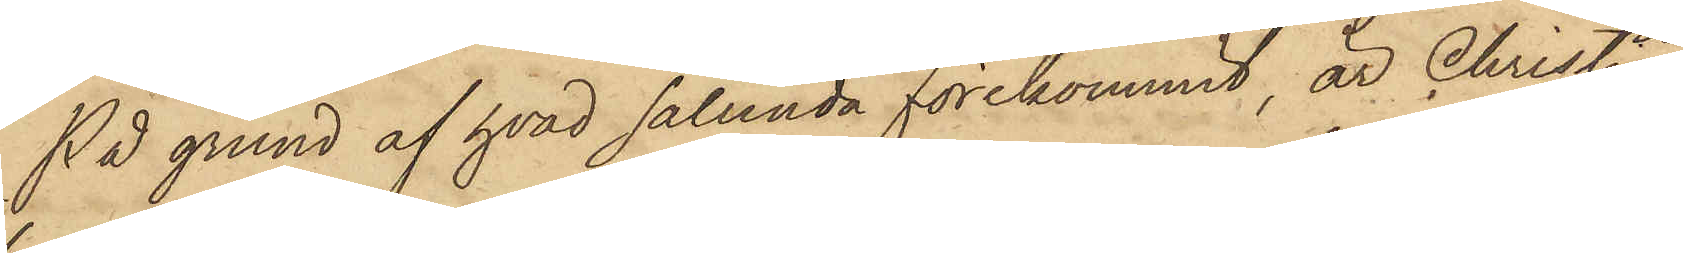På grund af hvad sålunda förekommit, är Christian
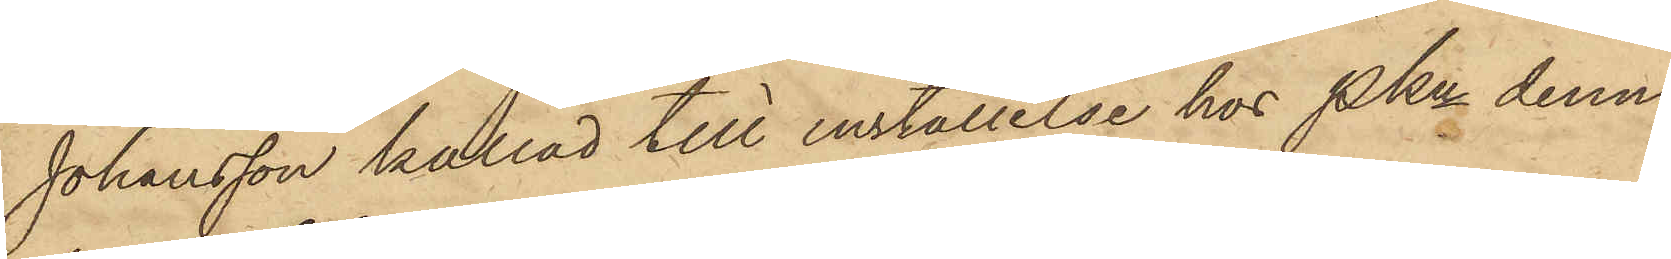Johansson kallad till inställelse hos Pkn denna
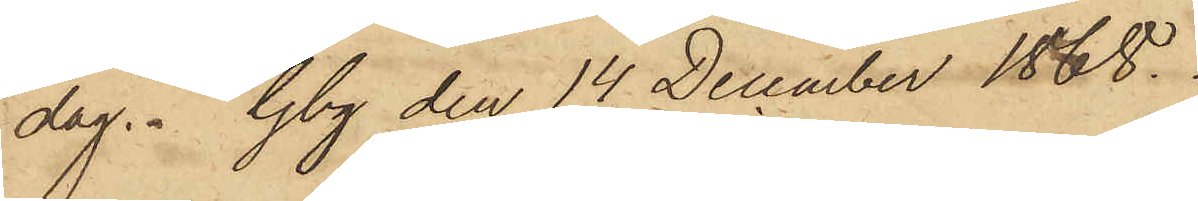dag. Gbg den 14 December 1868.
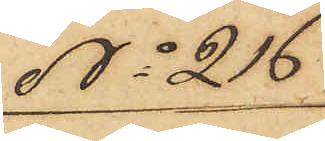No 216
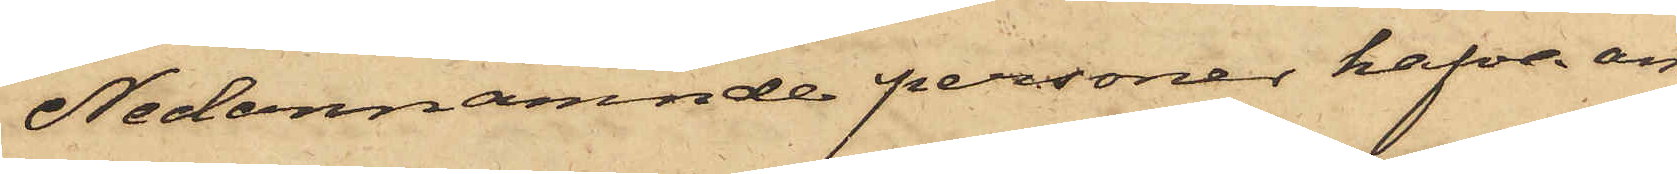Nedannämnde personer hafva an¬
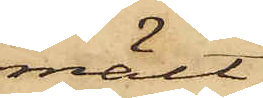mält,
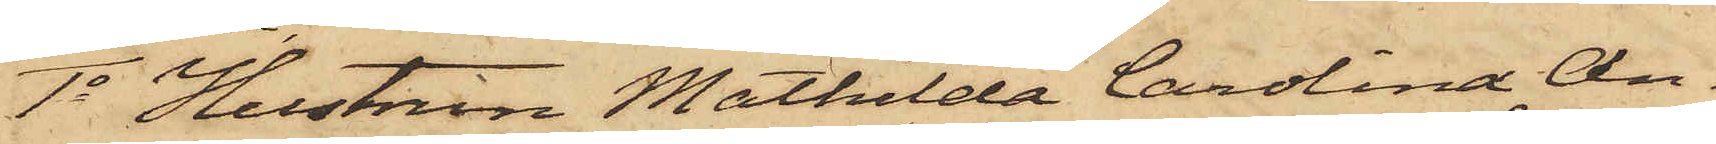1o Hustrun Mathilda Carolina An¬
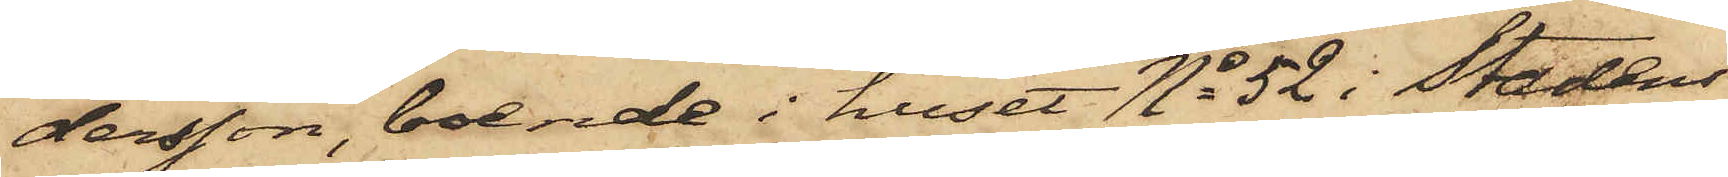dersson, boende i huset No 52 i Stadens
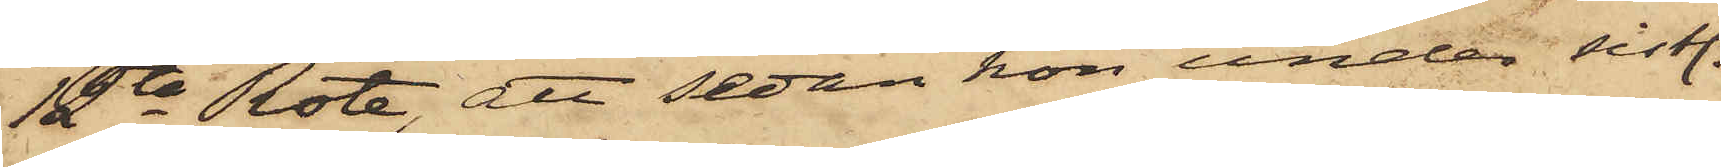12te Rote, att sedan hon under sistl.
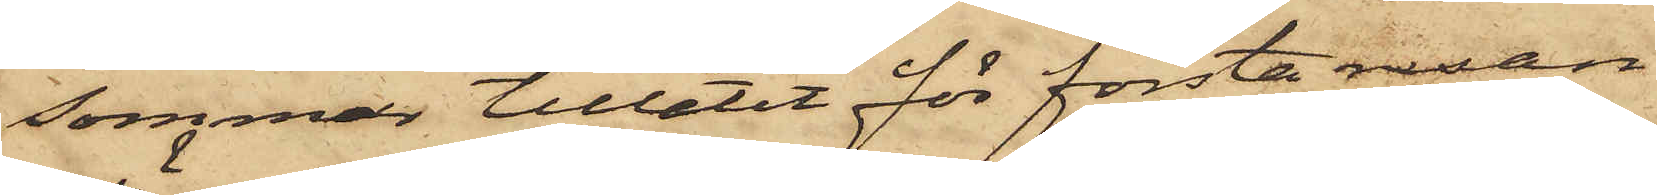sommar tillåtit för första resan
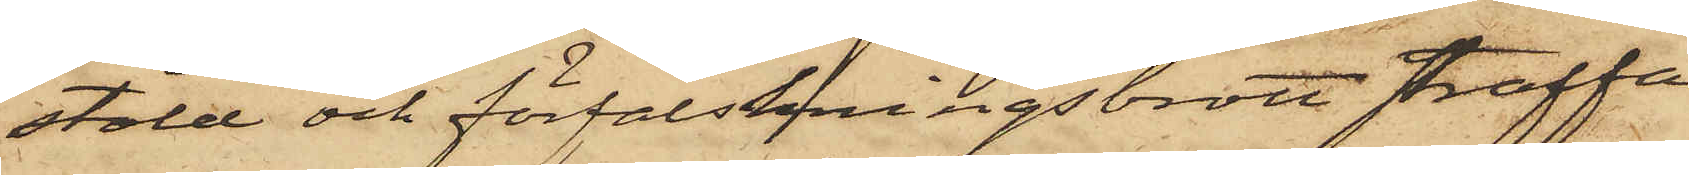stöld och förfalskningsbrott straffa¬
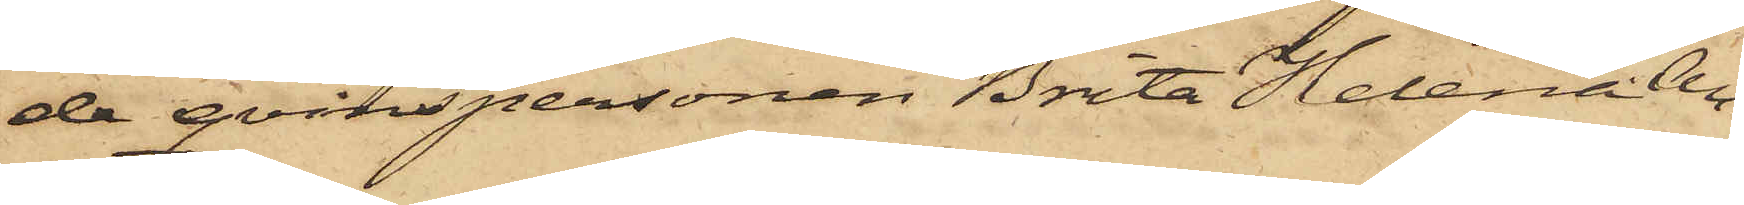de qvinspersonen Brita Helena An¬
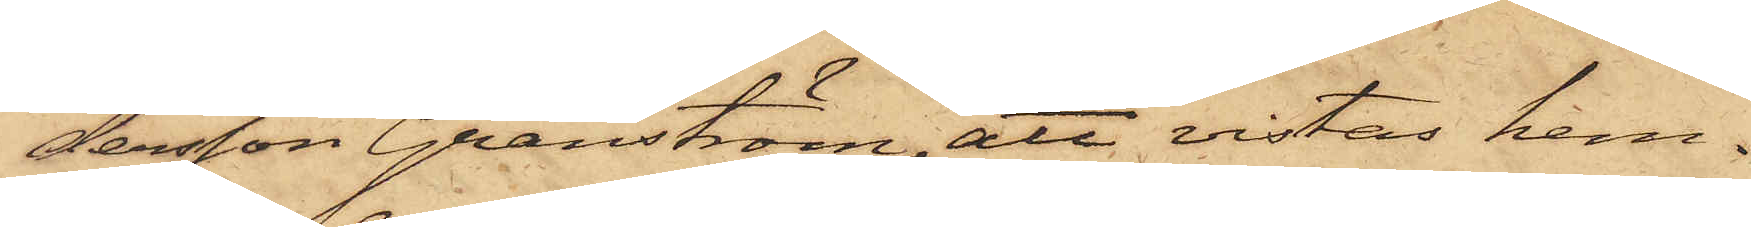dersson Granström, att vistas hem¬
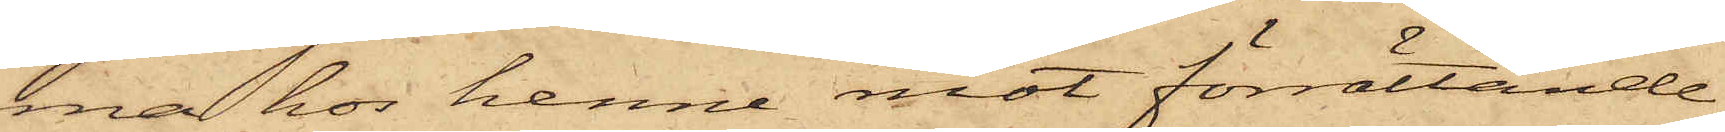ma hos henne mot förrättande
